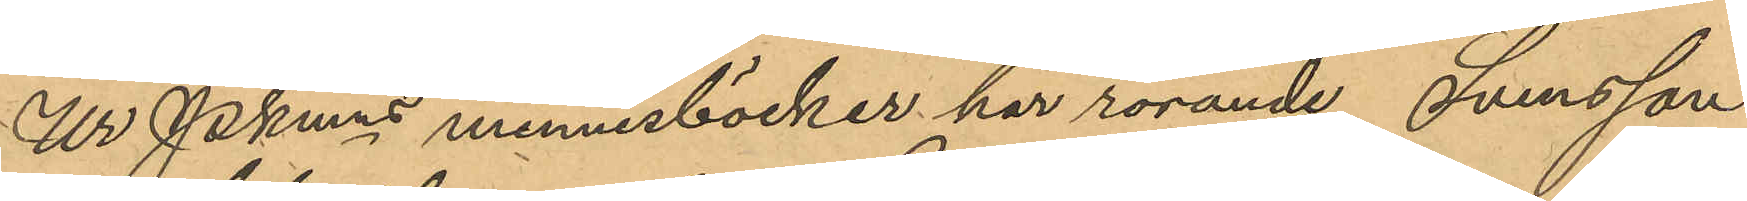Ur Pkmns minnesböcker har rörande Svensson
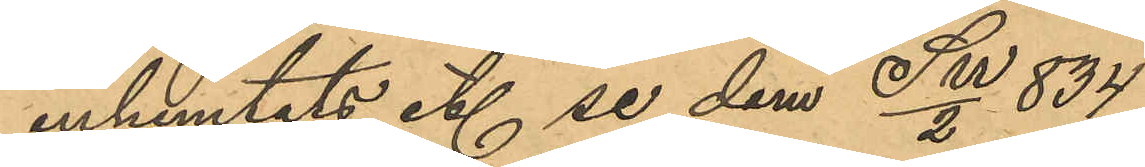inhemtats ett se dem SW/2 834
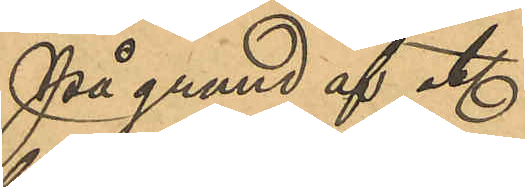På grund af etc.
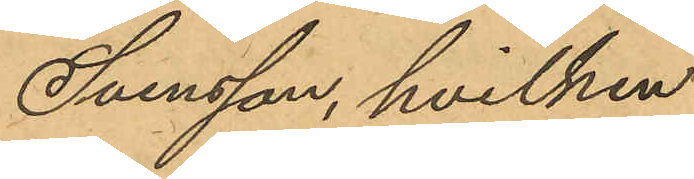Svensson, hvilken
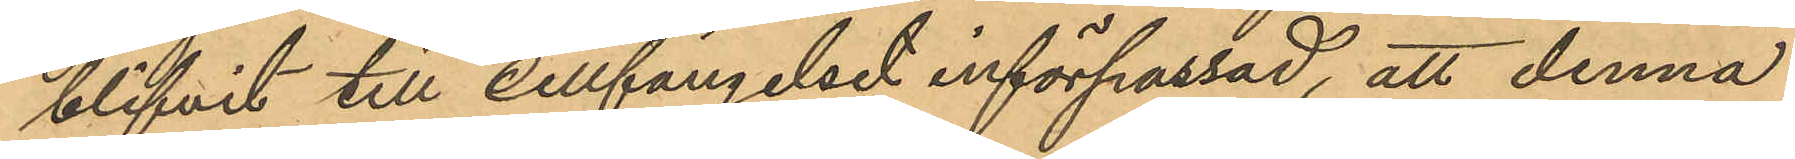blifvit till cellfängelset införpassad, att denna
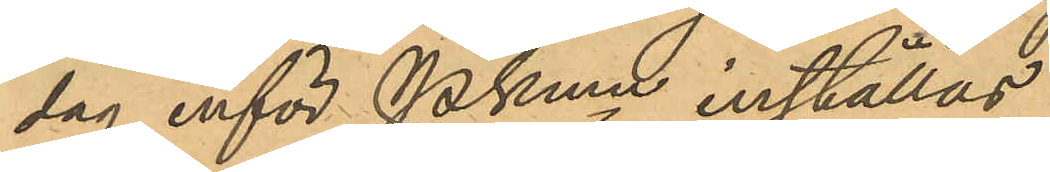dag inför Pkmn inställas.
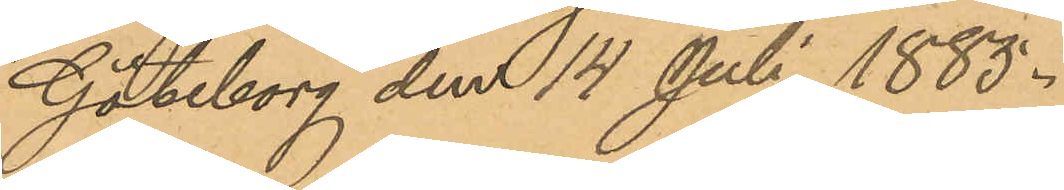Göteborg den 14 Juli 1885.
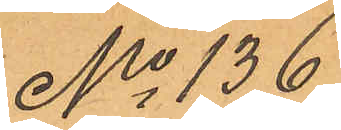No 136
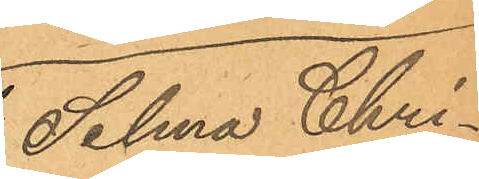Selma Chri¬
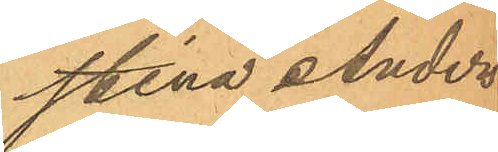stina Anders¬
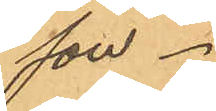son.
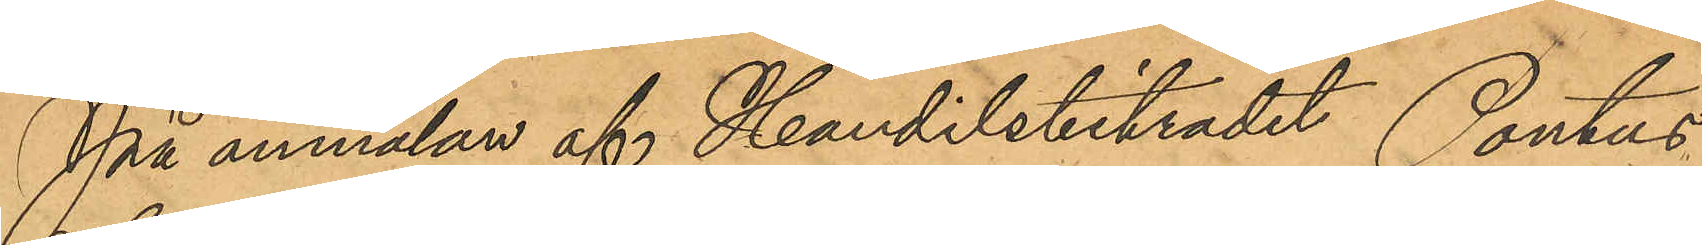På anmälan af Handelsbiträdet Pontus
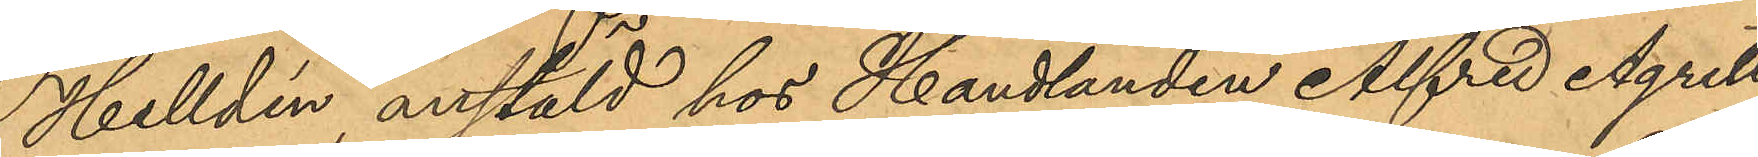Helldén, anstäld hos Handlanden Alfred Agrell,
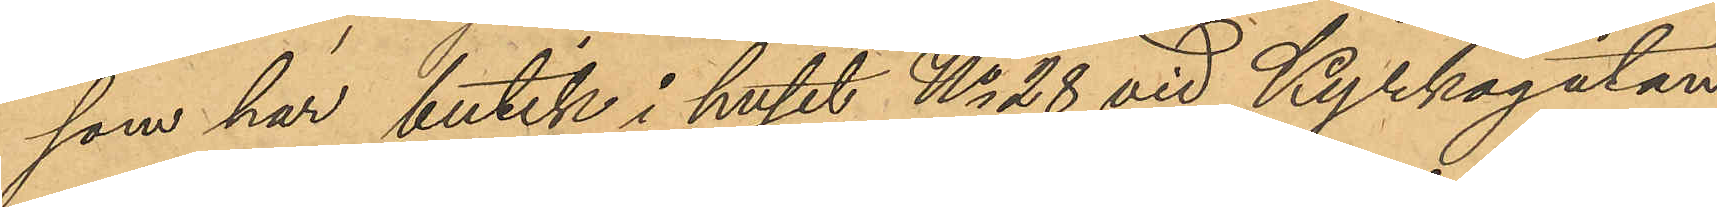som har butik i huset No 28 vid Kyrkogatan
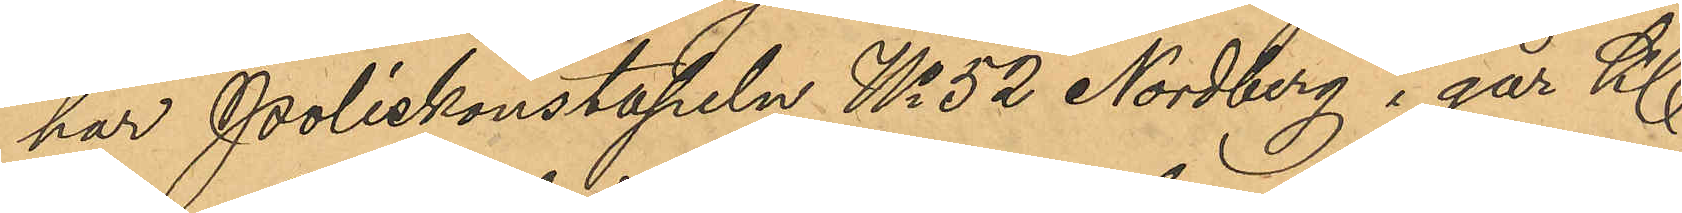har Poliskonstapeln No 52 Nordberg i går Kl
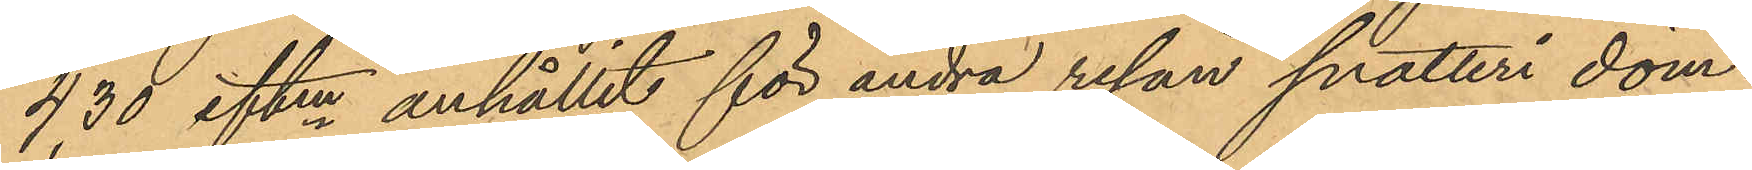4,30 eftm anhållit för andra resan snatteri döm¬
